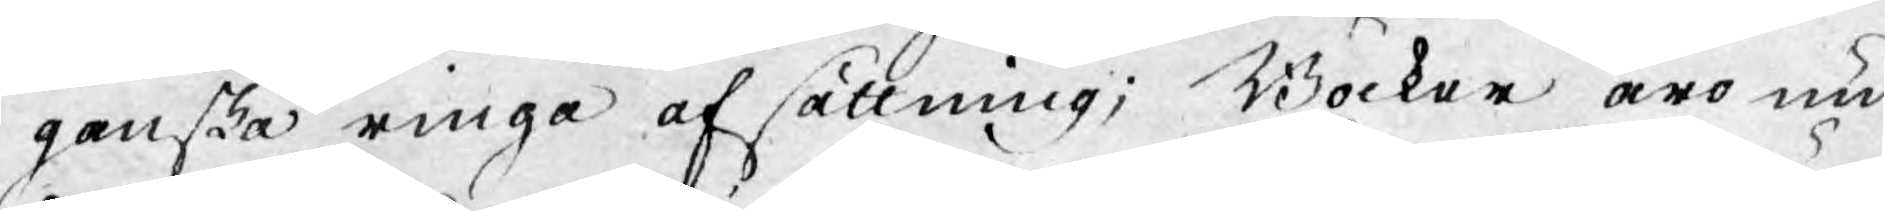ganska ringa afsättning. Böcker äro nu
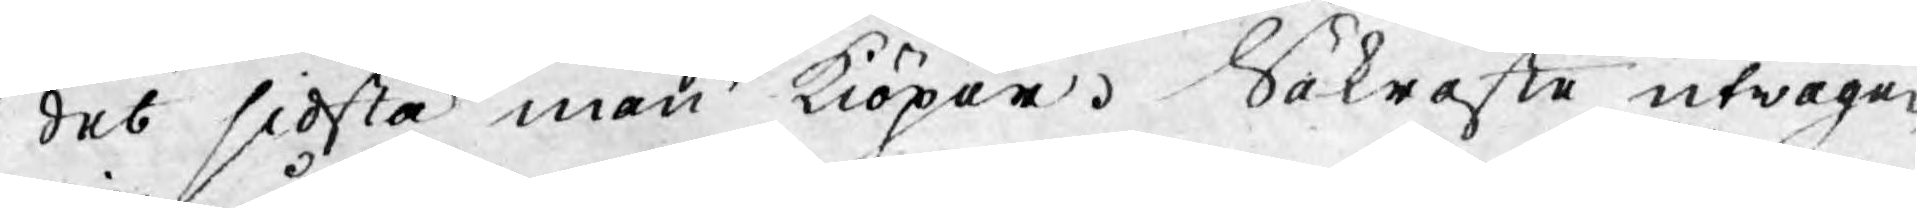det sidsta man kiöper. Säkraste utwägen
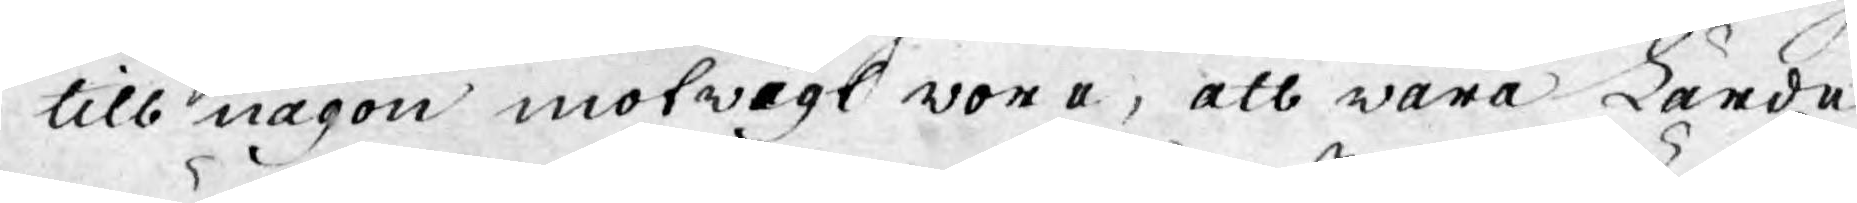till någon motwigt wore, att wåra Lärde
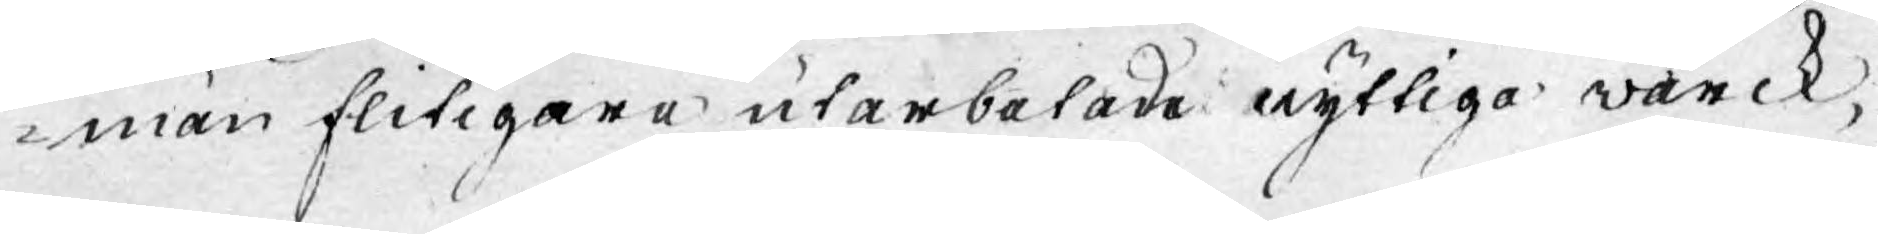män flitigare utarbetade nyttiga wärck,
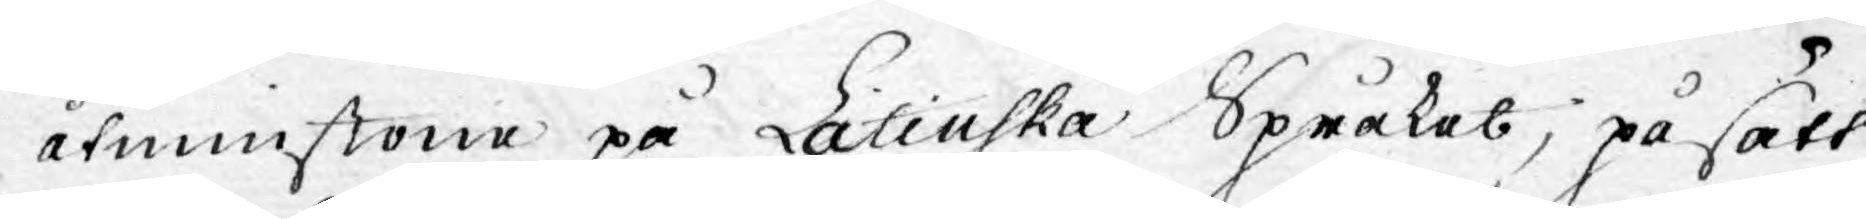åtminstone på Latinska Språket, på sätt
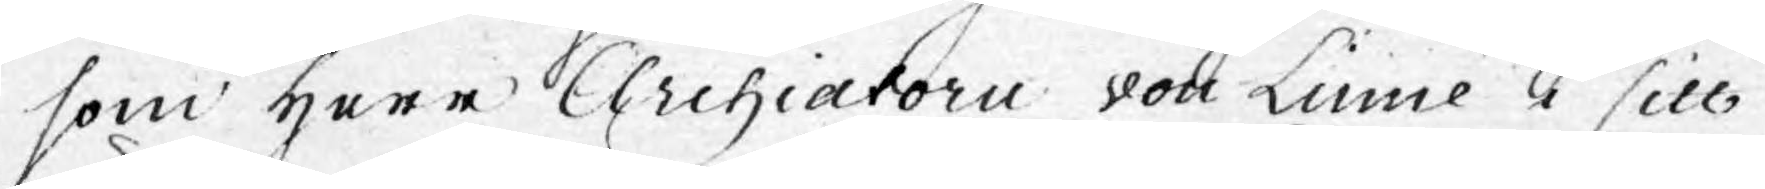som Herr Archiatorn von Linné i sitt
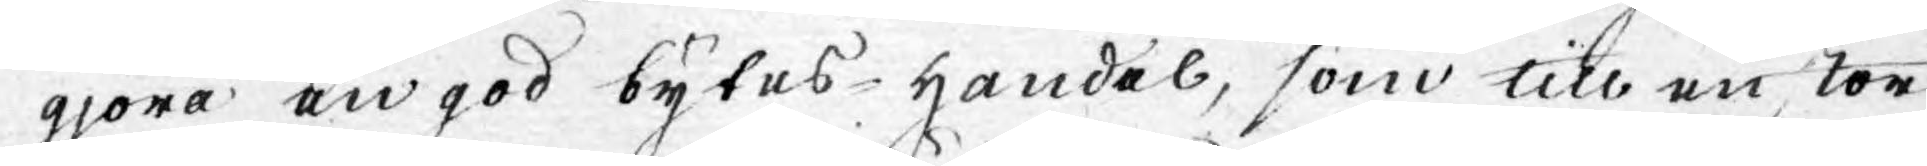gjöra en god bytes-handel, som till en stor
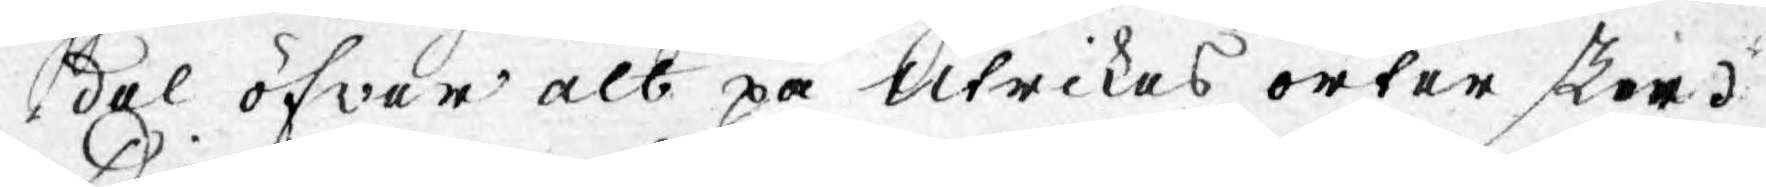del öfwer alt på Utrikes orter sker.
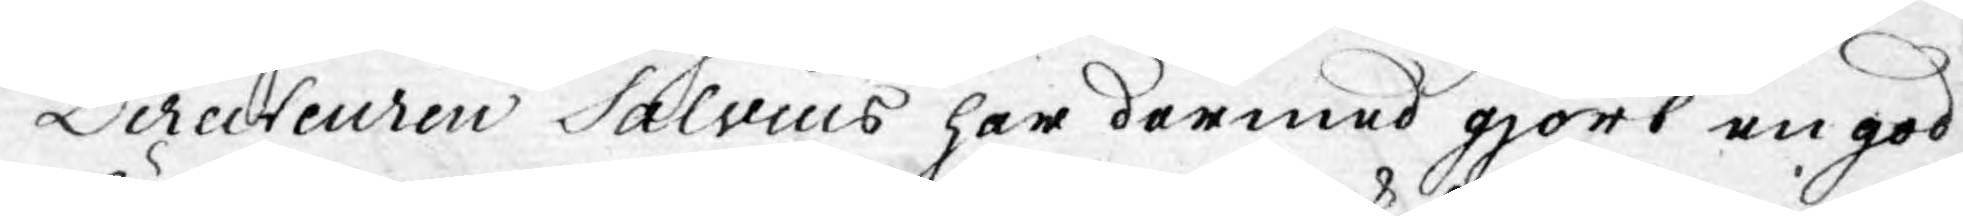Directeuren Salvius har dermed gjort en god
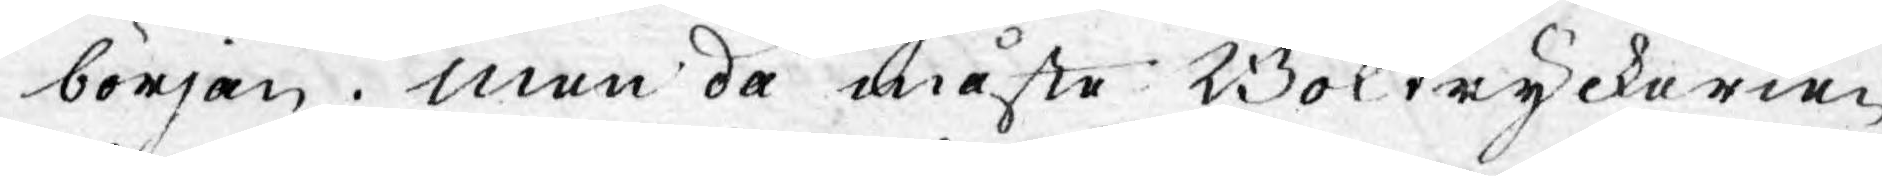början. Men då måste Boktryckerier
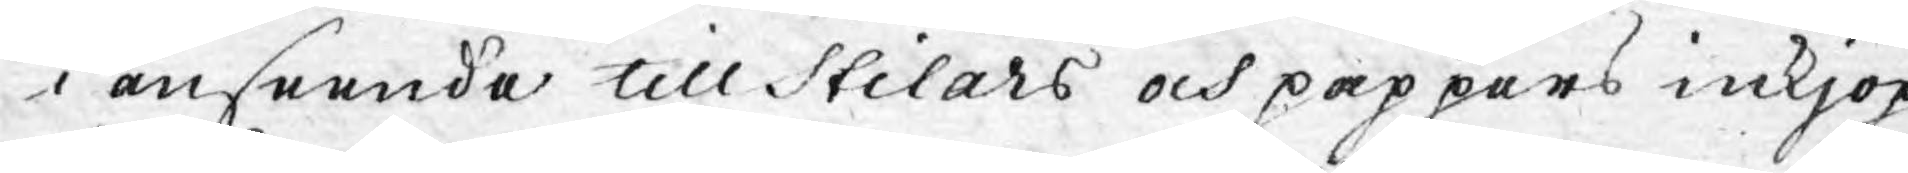i anseende till stilars och pappers inkjöp
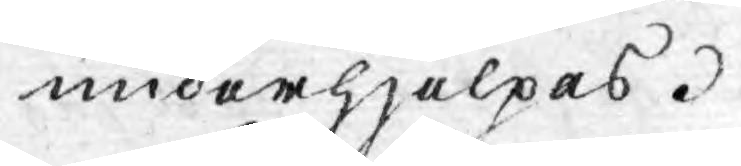underhjelpas.
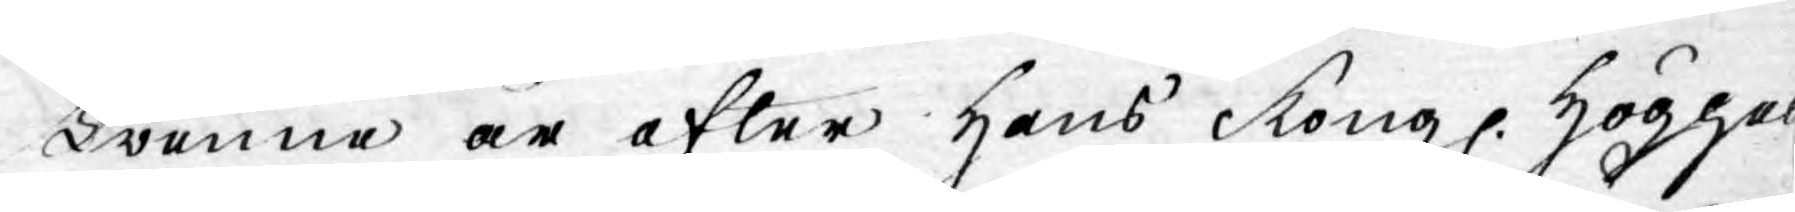Twenne år efter Hans Kongl. Höghet
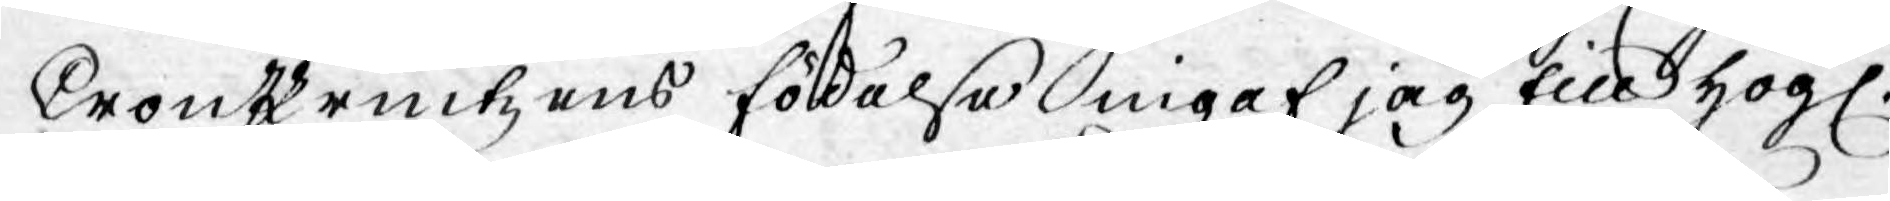Cronprintzens födelse ingaf jag till Högl.
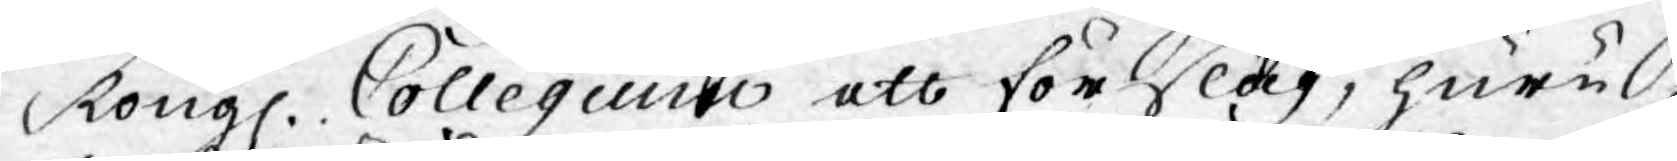Kongl. Collegium ett förslag, huru
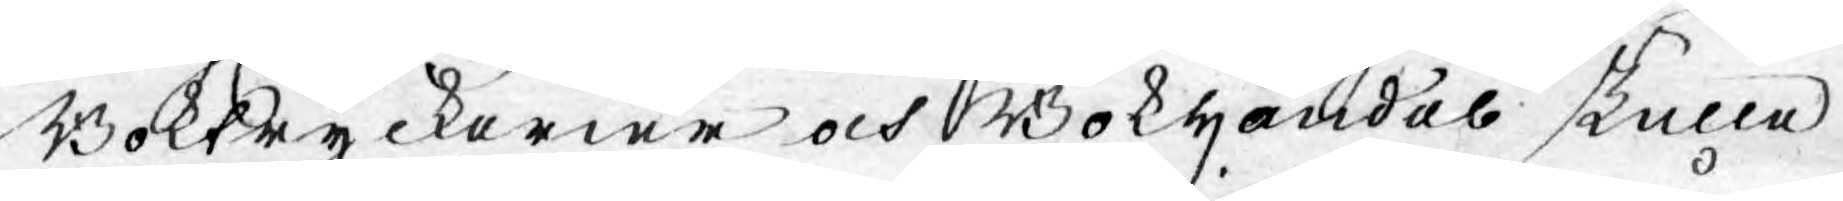Bokkryckerier och Bokhandel skulle
